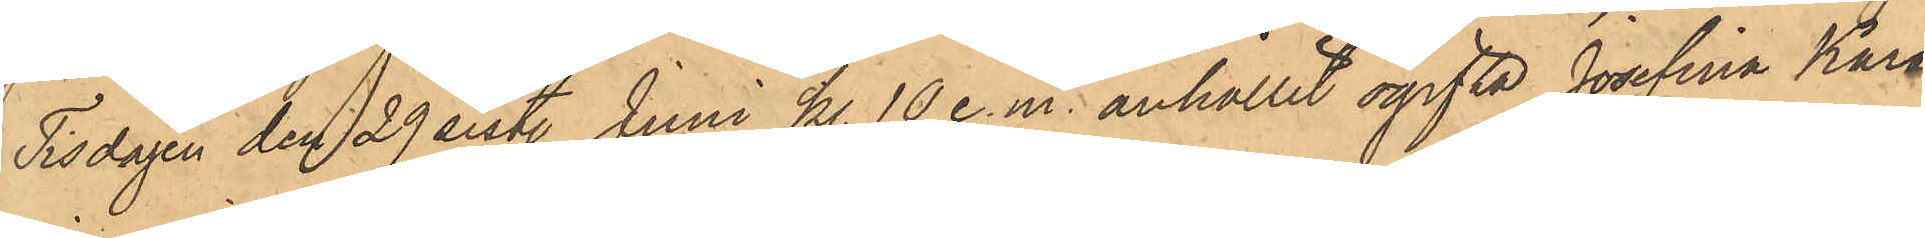Tisdagen den 29 sist. Juni kl 10 e.m. anhållit ogifta Josefina Kars¬
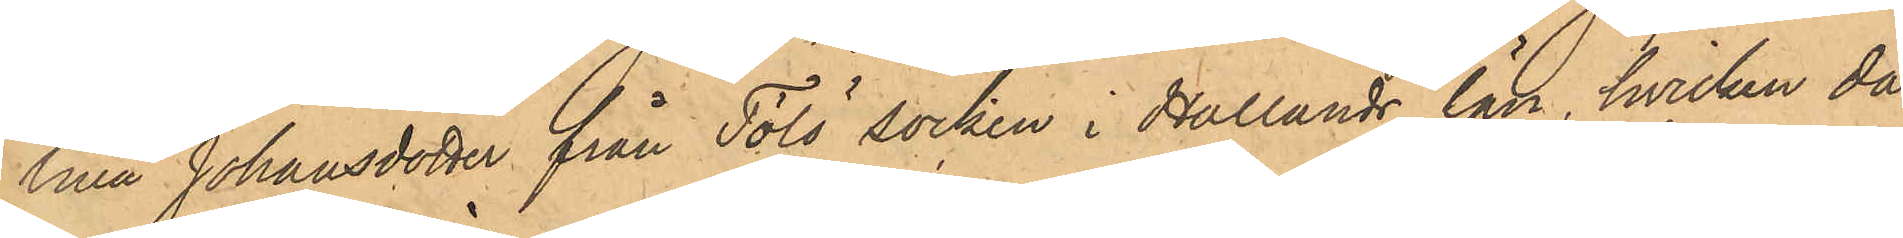lina Johansdotter från Tölö socken i Hallands län, hvilken då
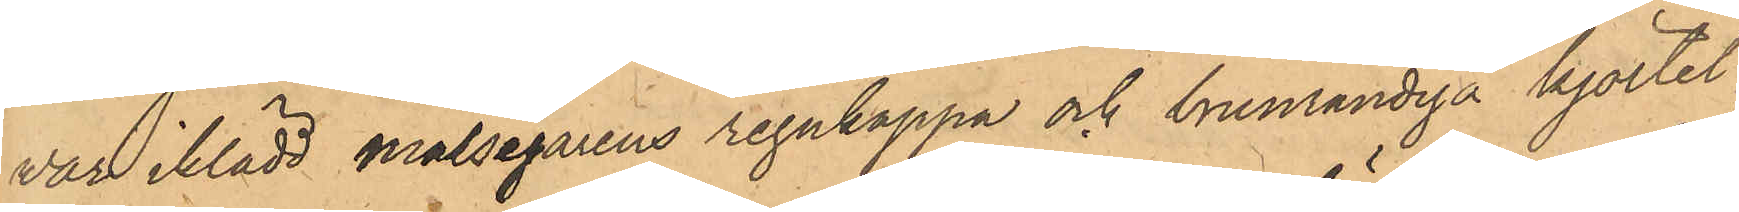var iklädd målsegarens regnkappa och brunrandiga kjortel.
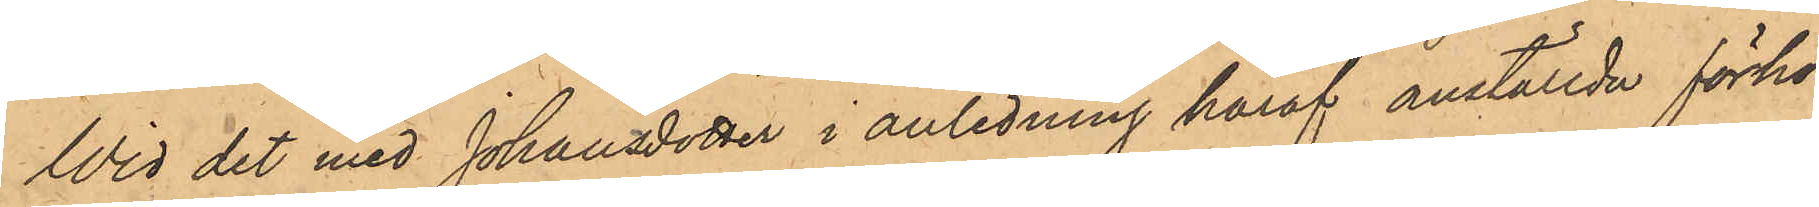Wid det med Johansdotter i anledning häraf anställda förhör
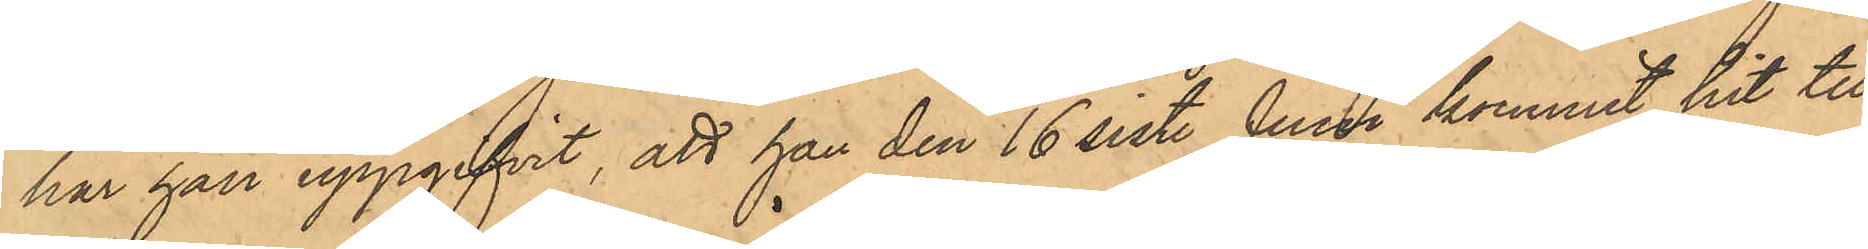har han uppgifvit, att han den 16 sist. Juni kommit hit till
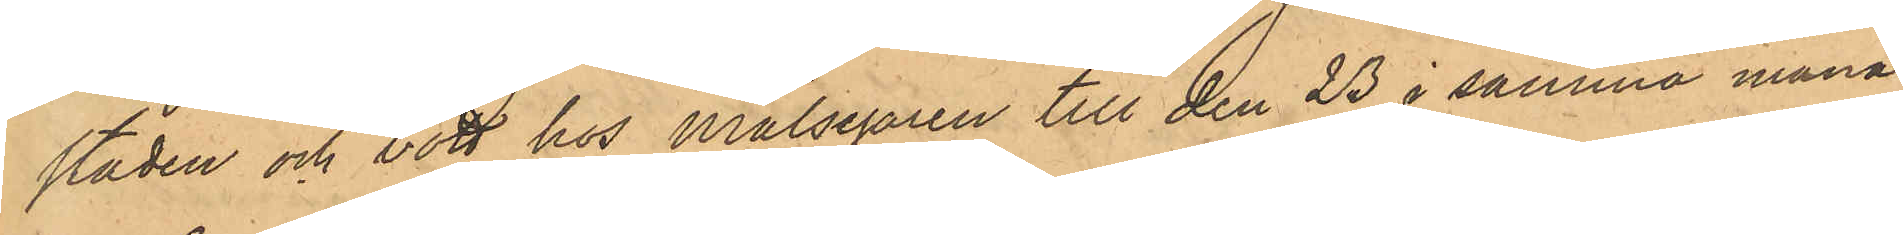staden och bott hos Målsegaren till den 23 i samma månad,
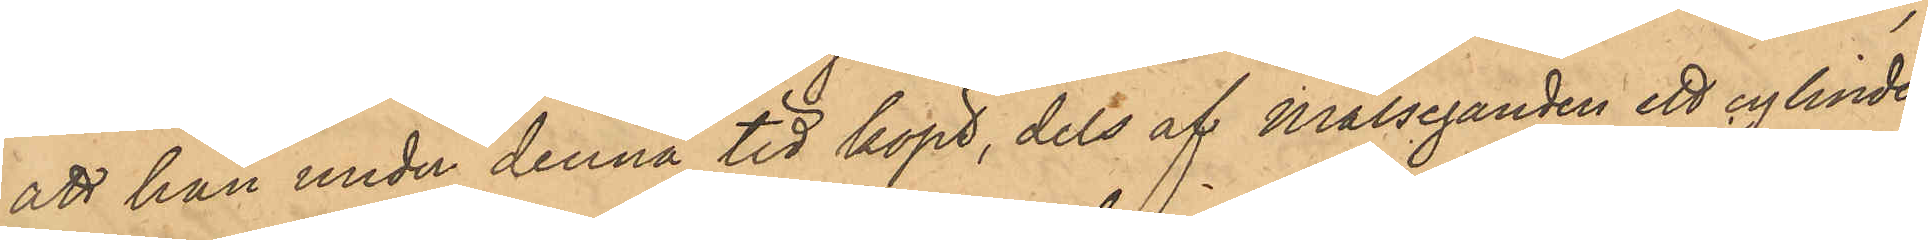att han under denna tid köpt, dels af Målseganden ett cylinder¬
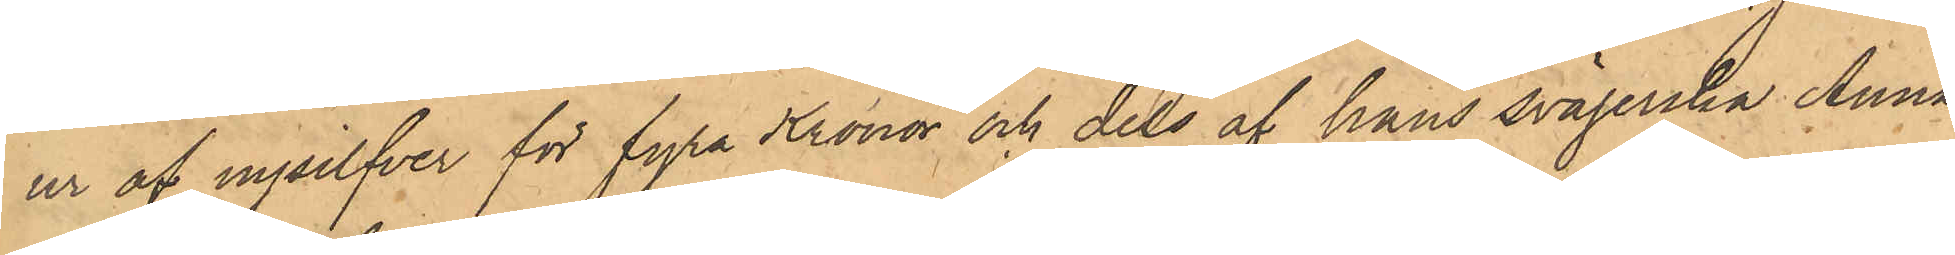ur af nysilfver för fyra Kronor och dels af hans svägerska Anna
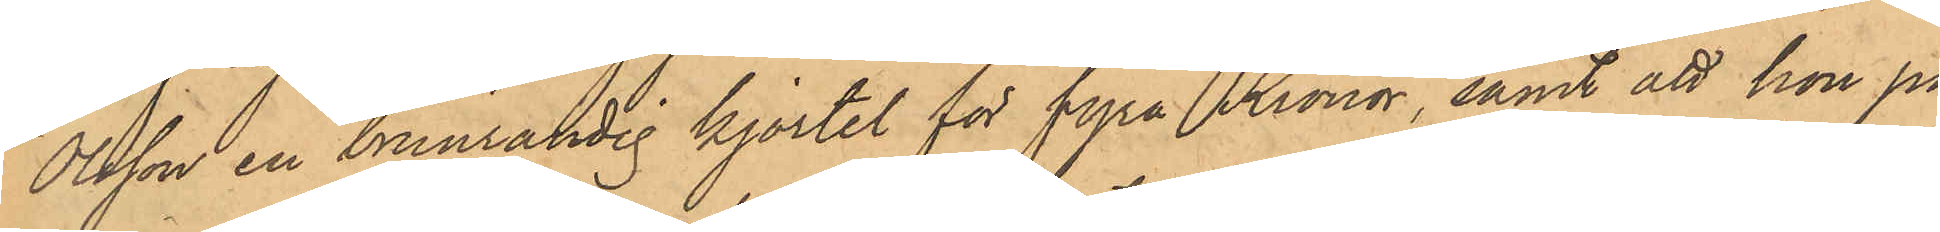Olsson en brunrandig kjortel för fyra Kronor, samt att hon på
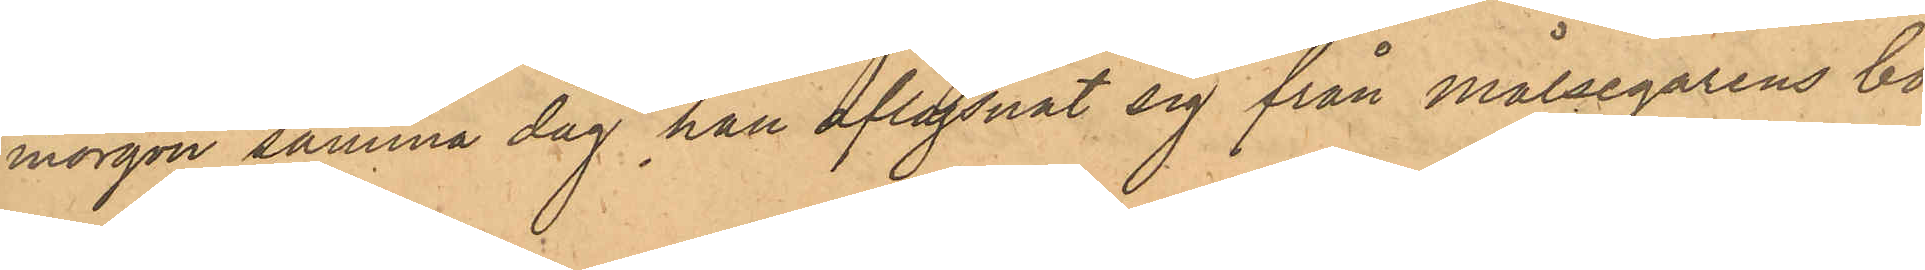morgon samma dag han aflägsnat sig från Målsegarens bo¬
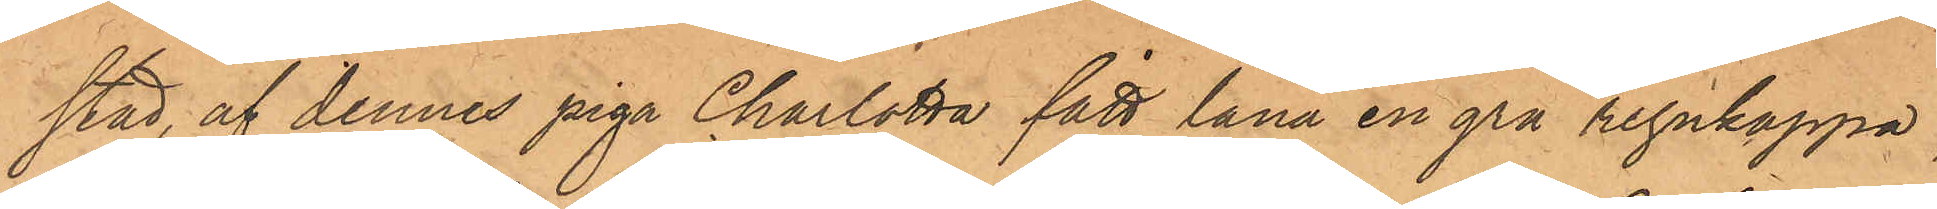stad, af dennes piga Charlotta fått låna en grå regnkappa,
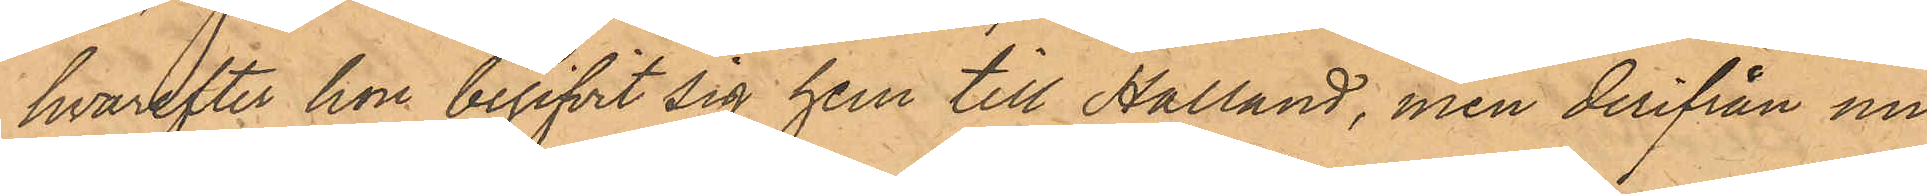hvarefter hon begifvit sig hem till Halland, men derifrån nu
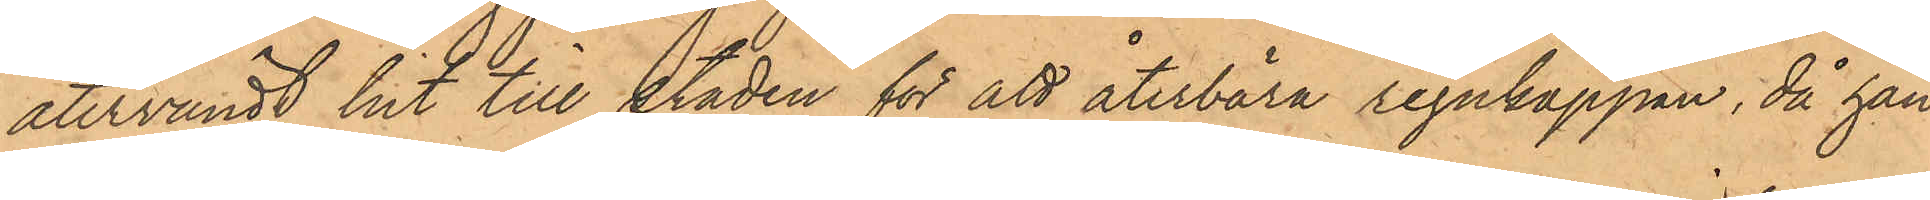återvändt hit till staden för att återbära regnkappan, då han
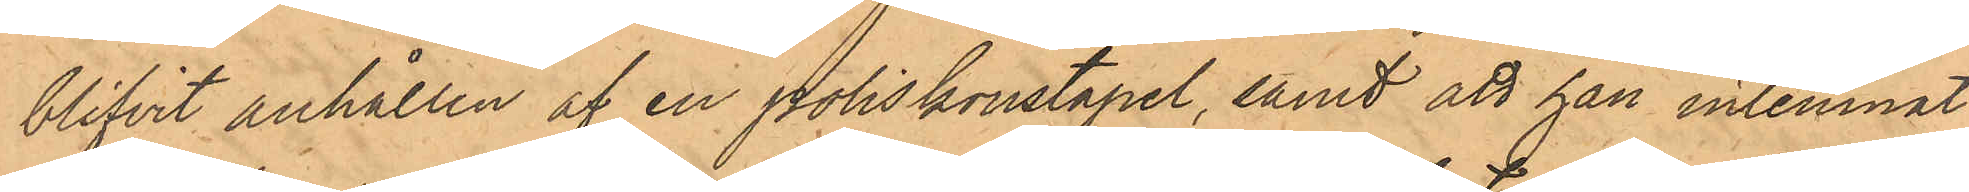blifvit anhållen af en poliskonstapel, samt att han inlemnat
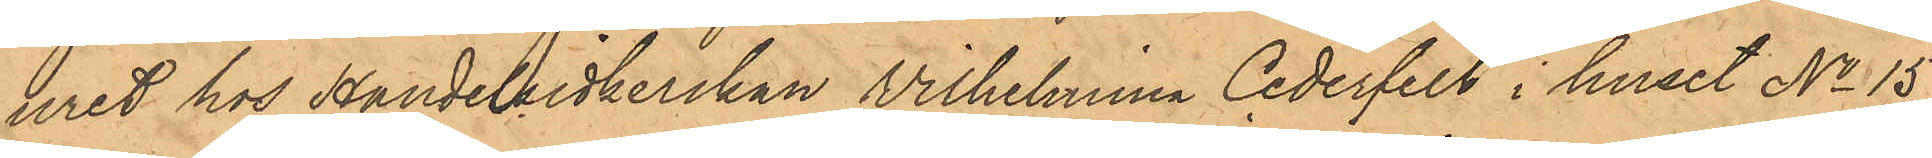uret hos Handelsidkerskan Wilhelmina Cederfelt i huset No 15
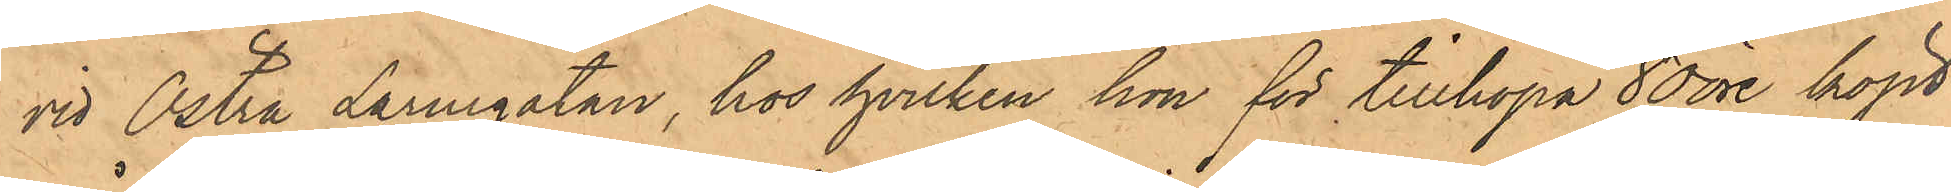vid Östra Larmgatan, hos hvilken hon för tillhopa 80 öre köpt
